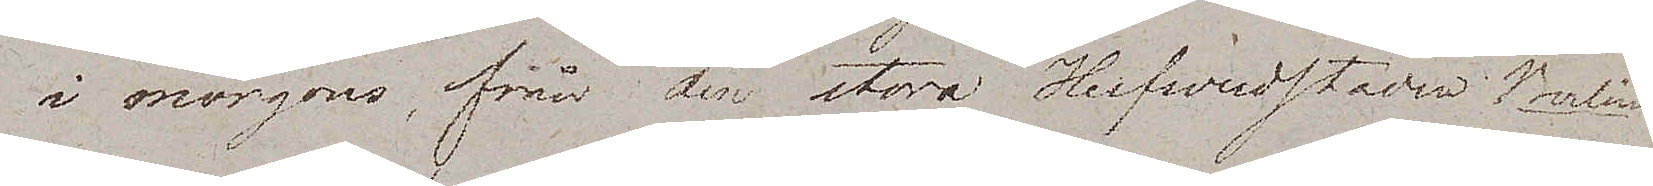i morgens, från den stora Hufvudstaden Berlin.
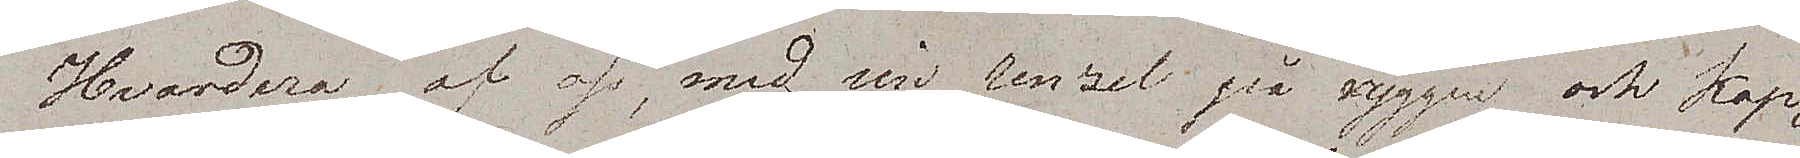Hvardera af oss, med sin renzel på ryggen och kap¬
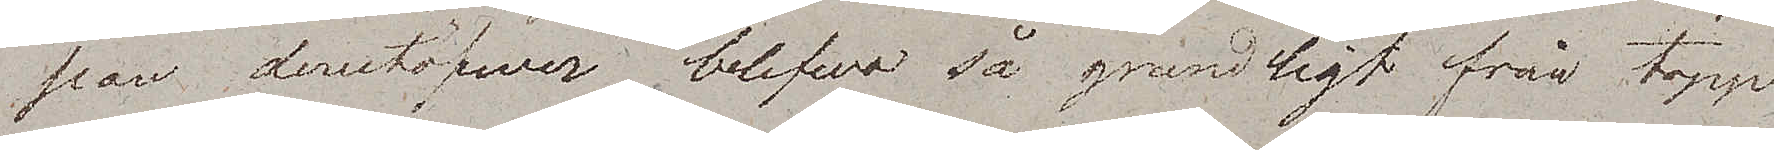pan derutöfwer, blefwo så grundligt från topp
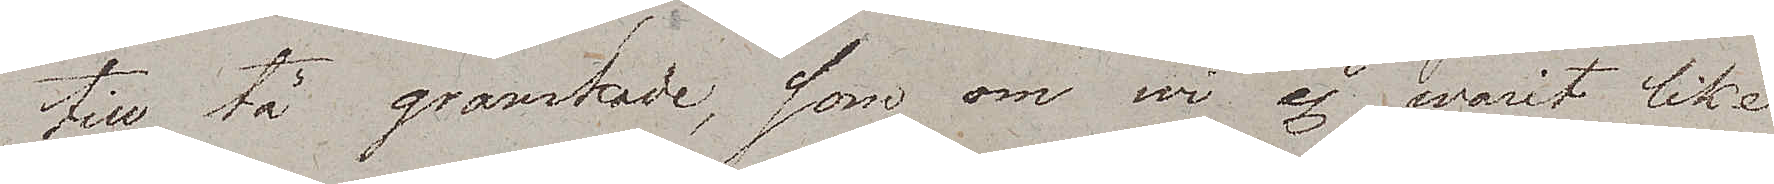till tå granskade, som om wi ej warit lika
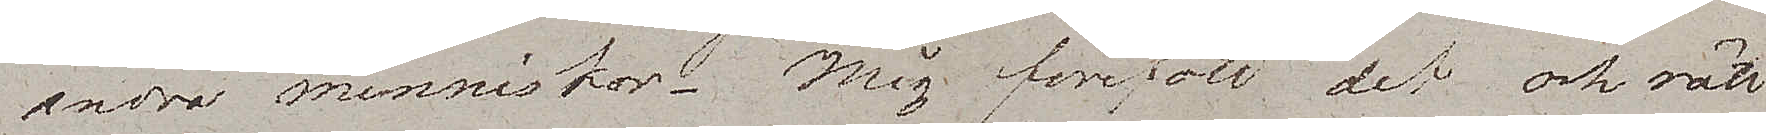andra menniskor. Mig föreföll det ock rätt
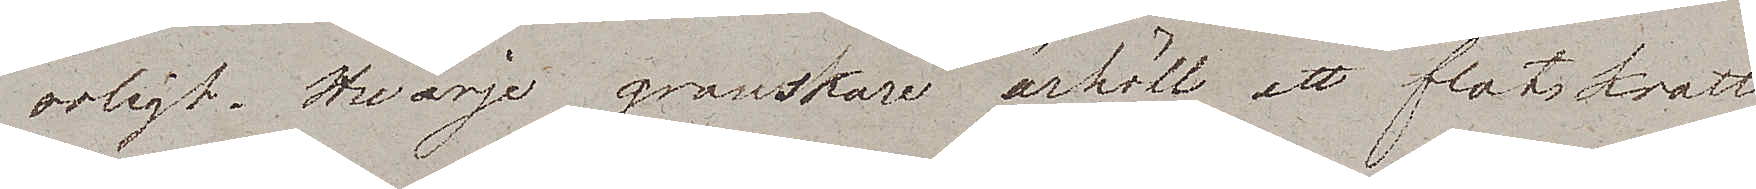roligt. Hvarje granskare ärhöll ett flatskratt
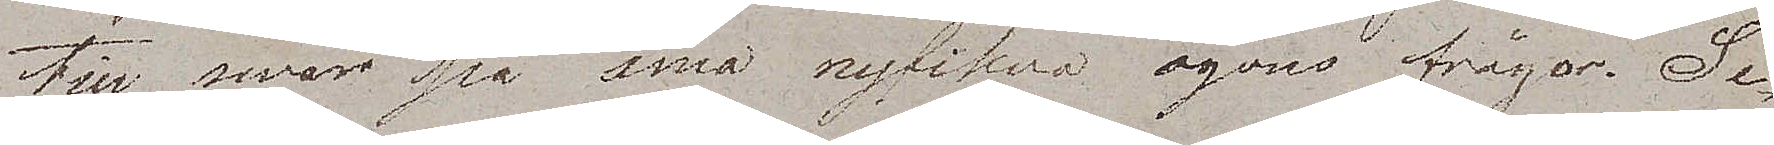till swar på små nyfikna ögons frågor. Se¬
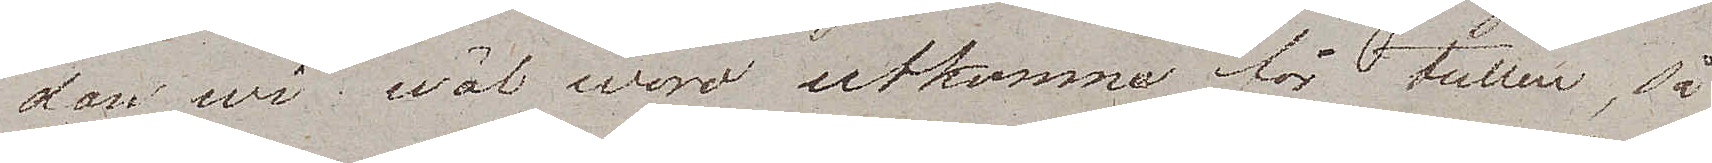dan wi wäl woro utkomma för tullen, så
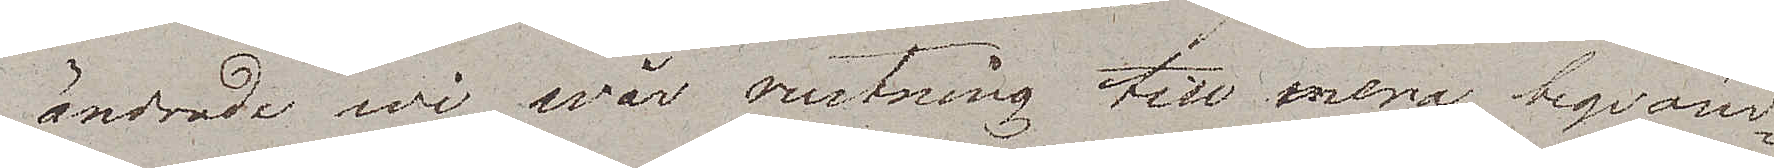ändrade wi wår rustning till mera beqväm¬
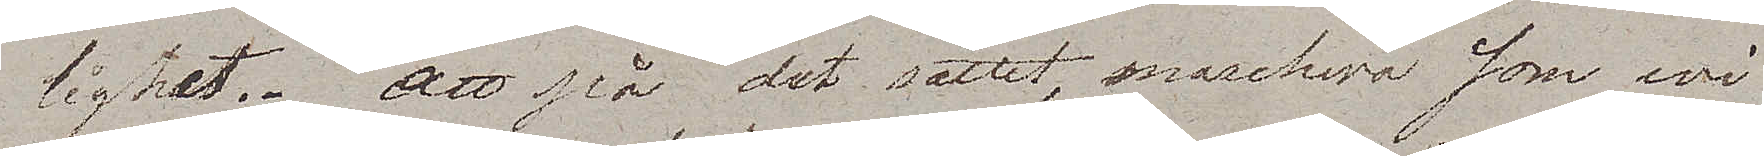lighet. Att på det sättet, marchera som wi
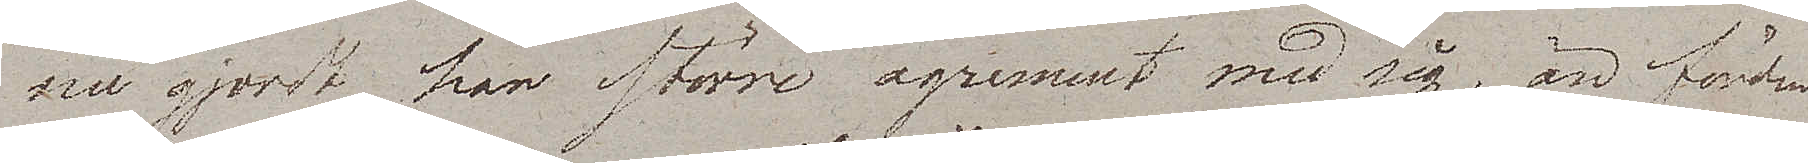nu gjordt, har större agrement med sig, än färden
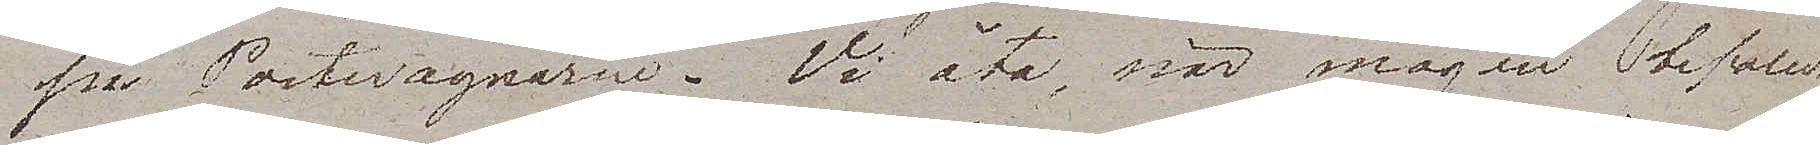på Postewagnarne. Vi åto, när magen befallde,
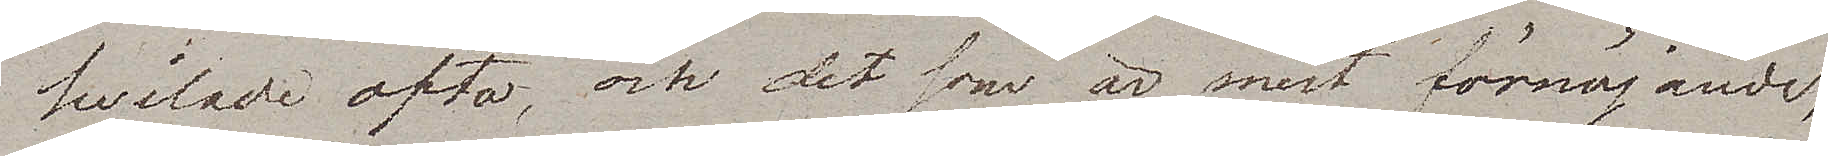hvilade ofta, och det som är mest förnöjande,
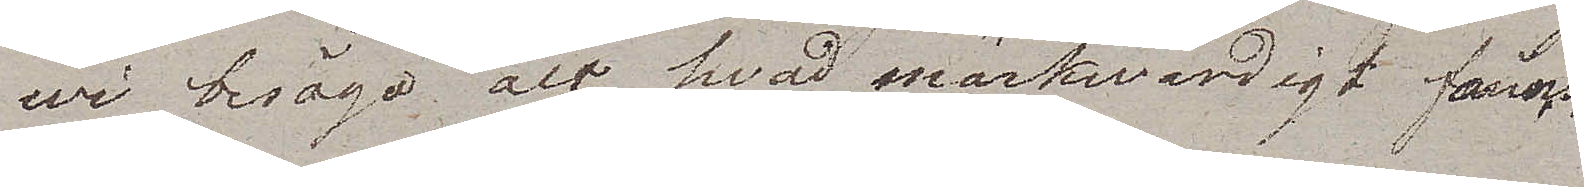wi besågo, alt hvad märkwärdigt fanns
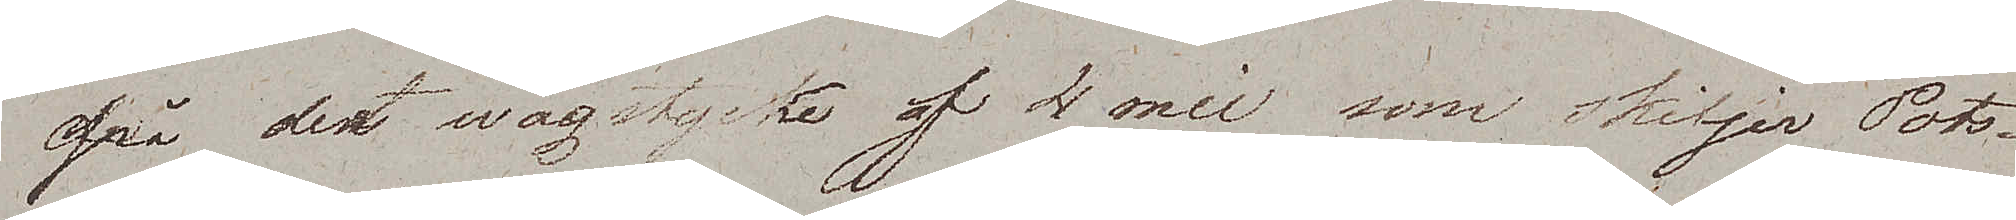på det wägstycke af 4 mil som skiljer Pots¬
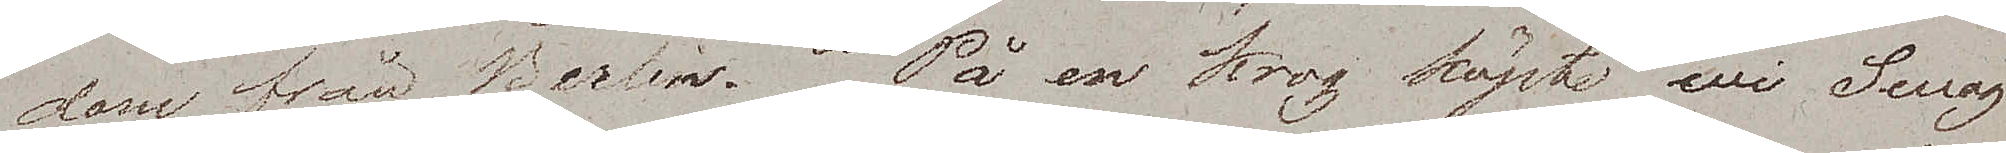dam från Berlin. På en krog köpte wi Swag¬
